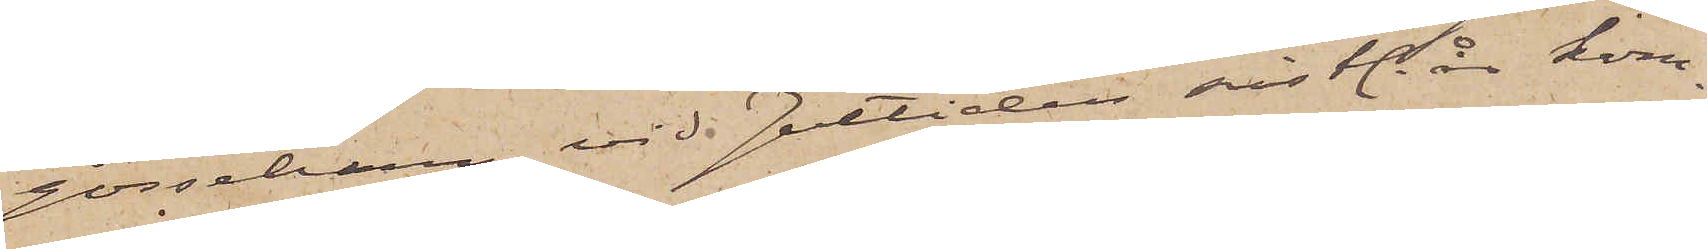gossebarn, vid Jultiden sistl. år kom¬
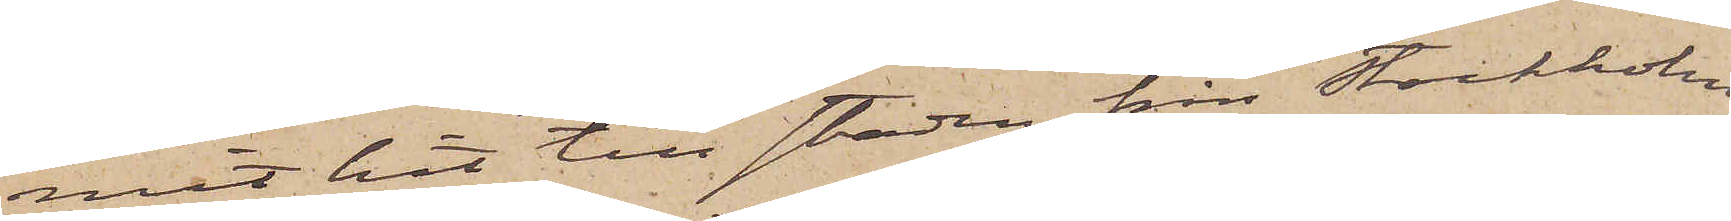mit hit till staden från Stockholm
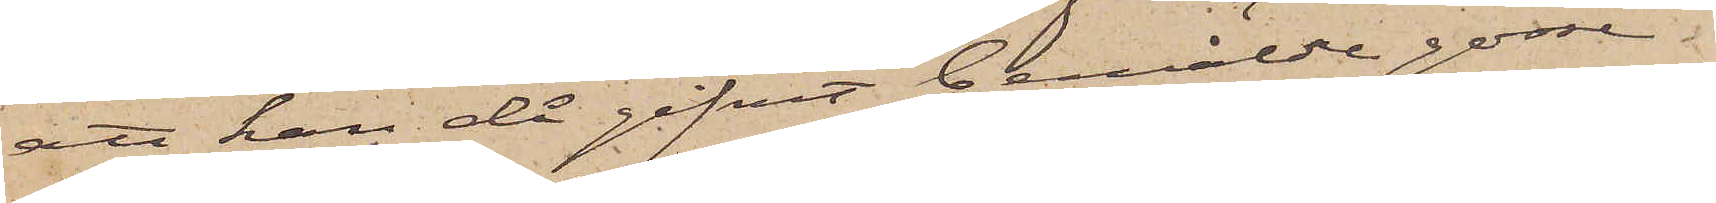att han då gifvit bemälde gosse
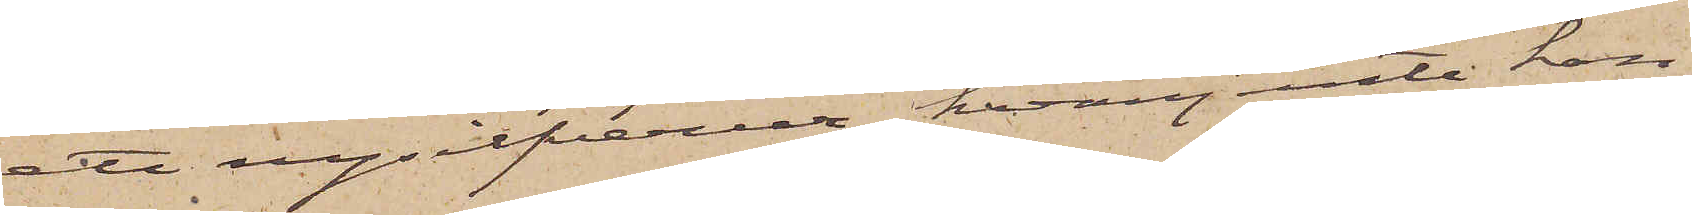ett nysilfverur, hvarjemte han
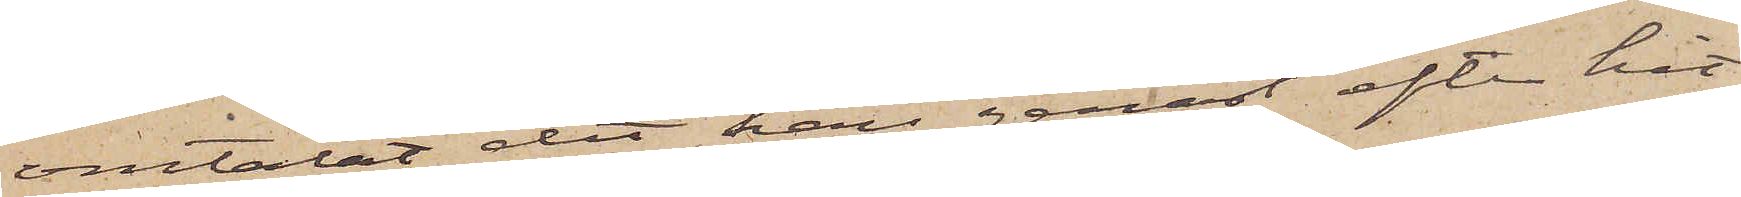omtalat det han genast efter hit¬
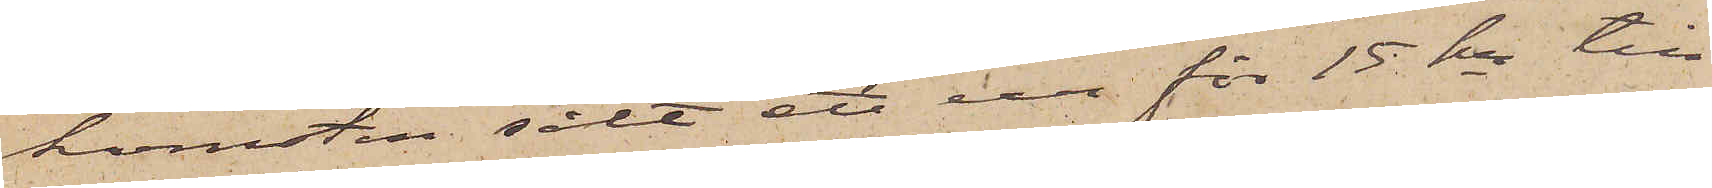komsten sålt ett ur för 15 kr till
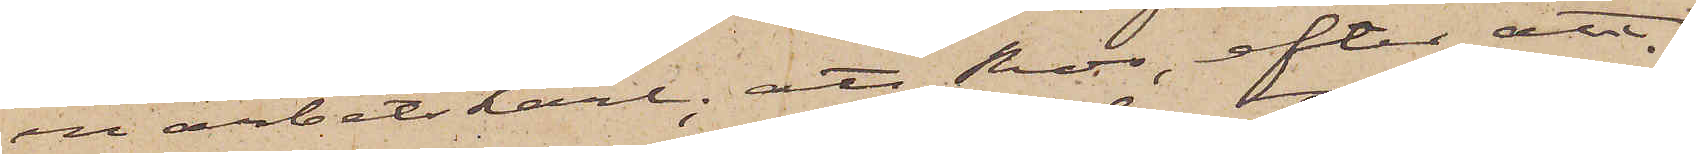en arbetskarl; att Ros, efter att
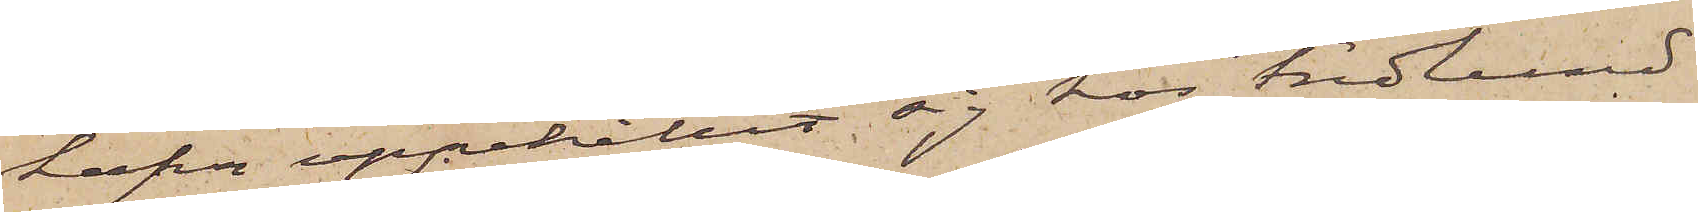hafva uppehållit sig hos Fredlund
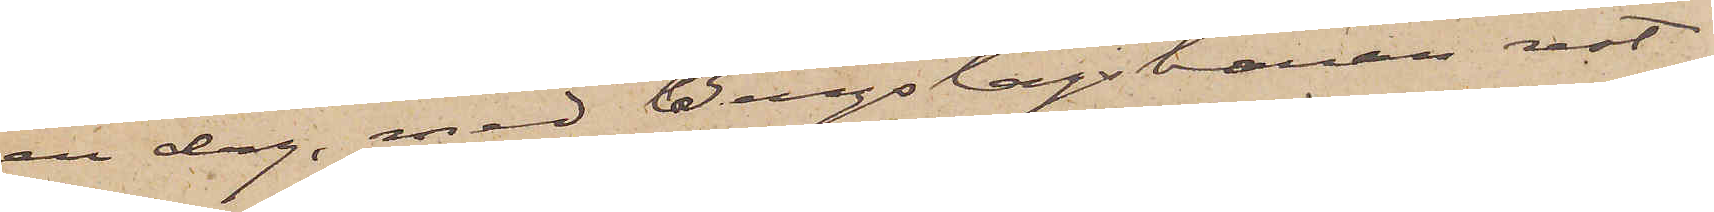en dag, med Bergslagsbanan rest
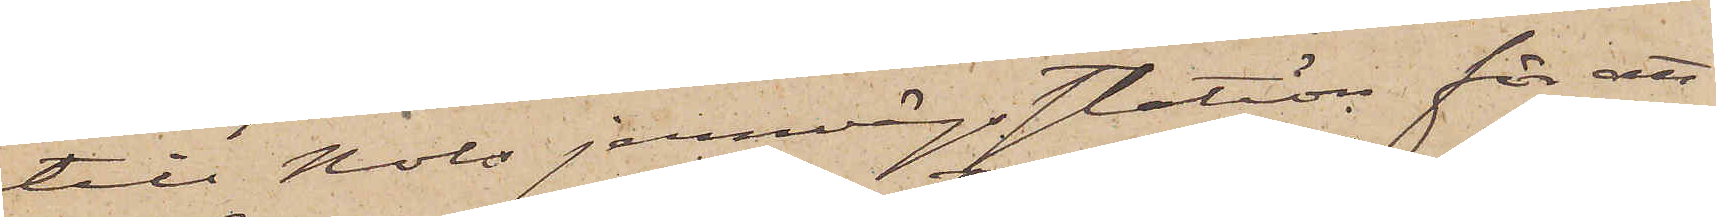till Nols jernvägsstation för att
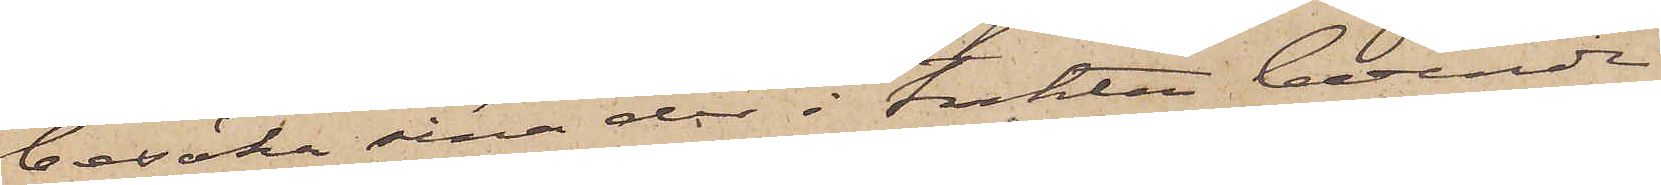besöka sina der i trakten boende
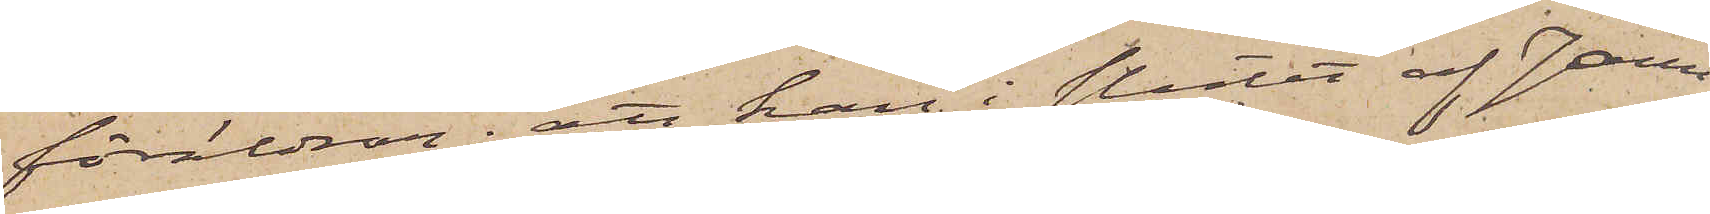föräldrar; att han i slutet af Janu¬
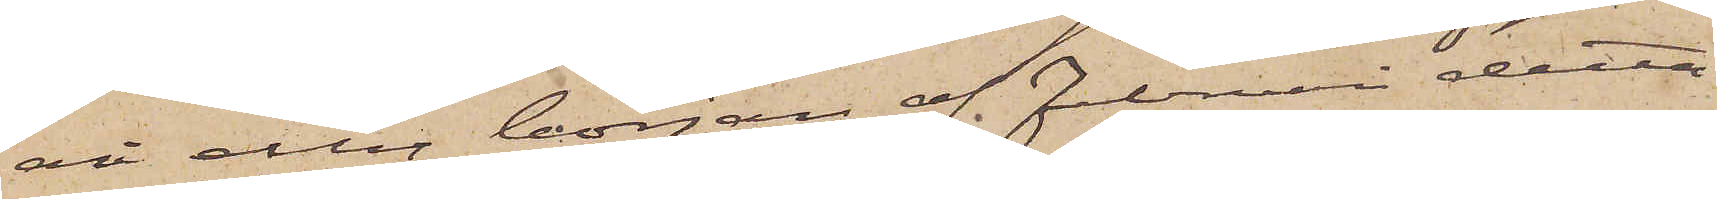ari eller början af Februari detta
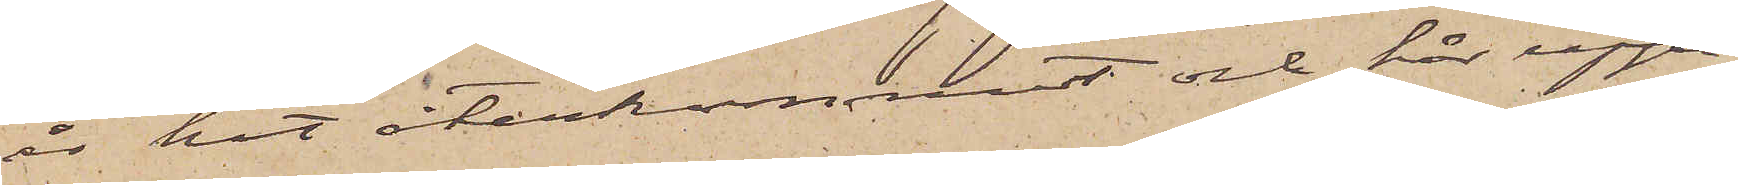år hit återkommit och här uppe¬
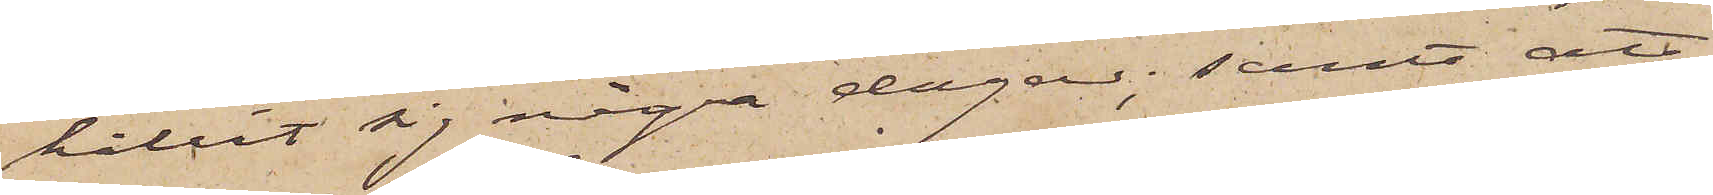hållit sig några dagar; samt att
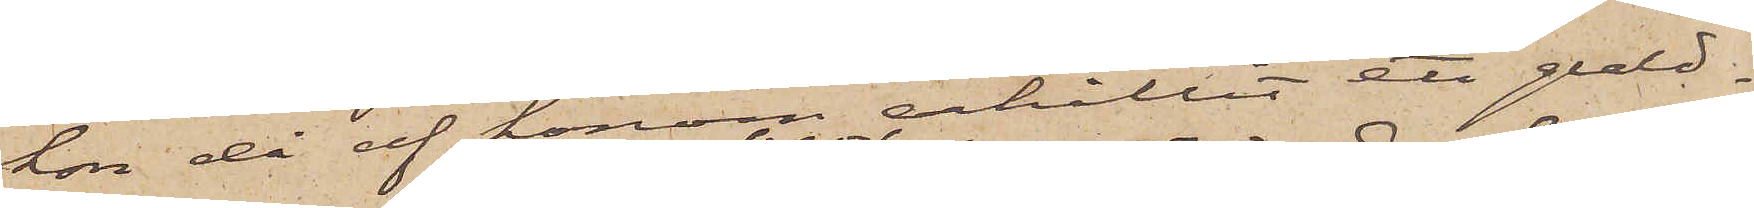hon då af honom erhållit ett guld¬
